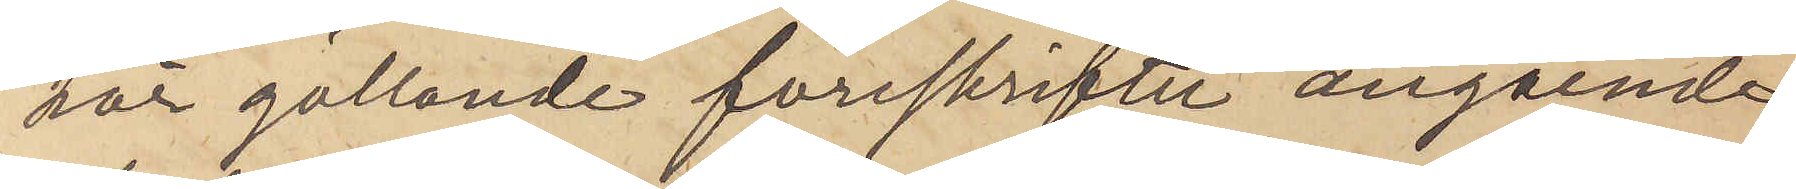här gällande föreskrifter angående
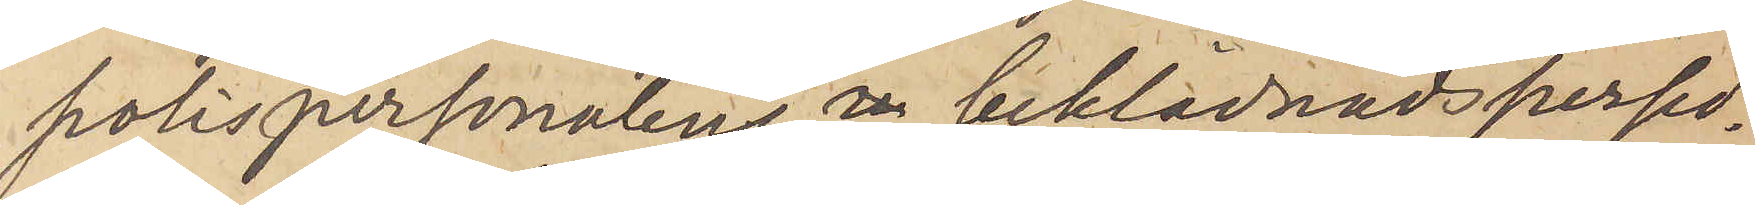polispersonalens beklädnadspersed¬
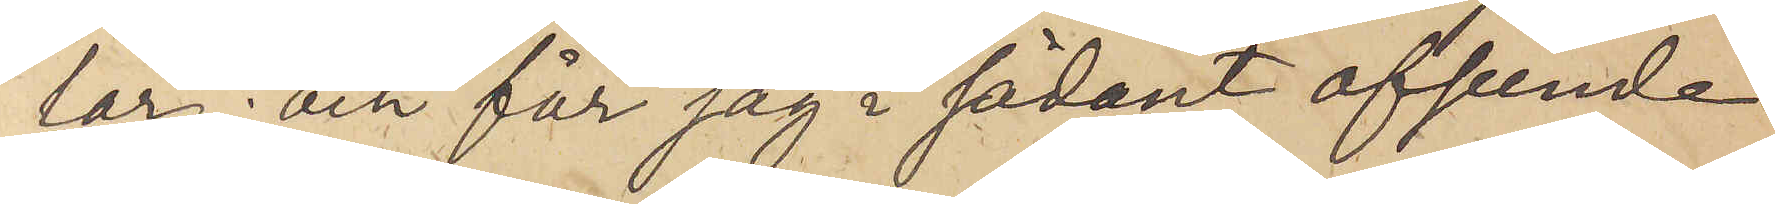lar; och får jag i sådant afseende
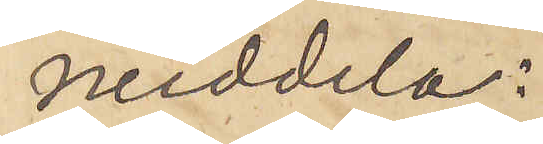meddela:
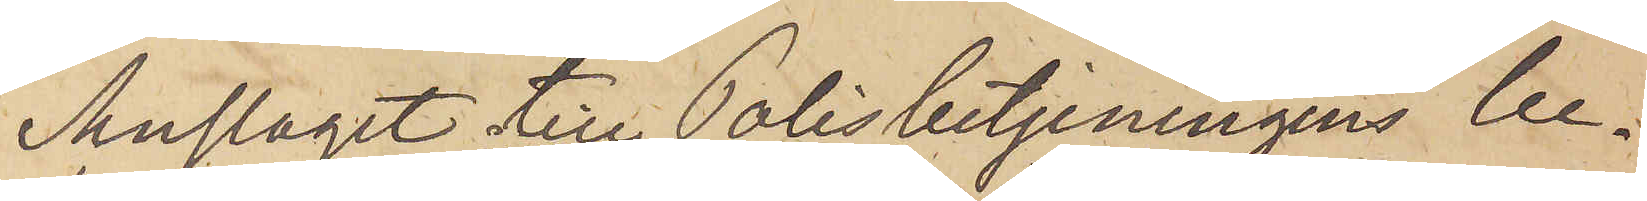Anslaget till Polisbetjeningens be¬
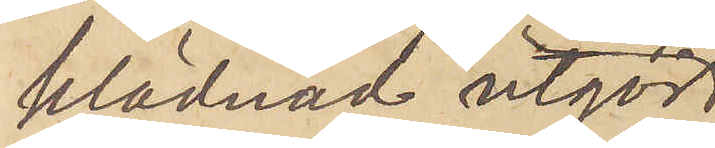klädnad utgör
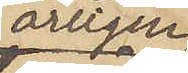årligen
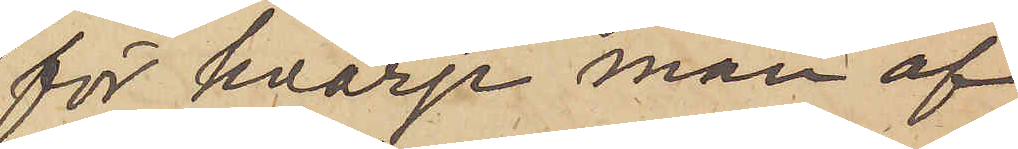för hvarje man af
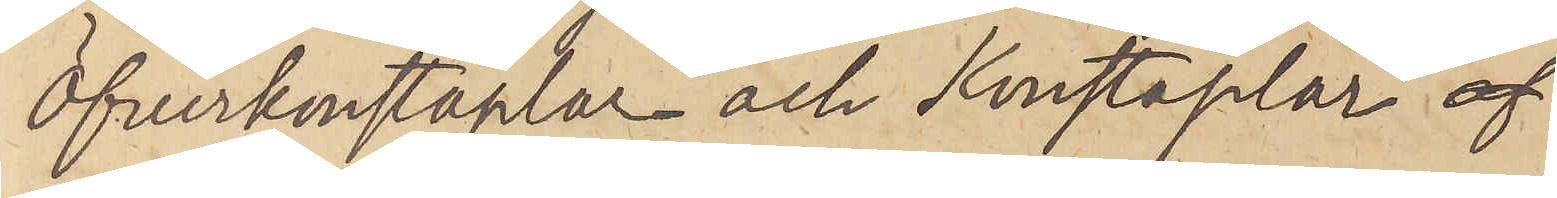Öfverkonstaplar och Konstaplar 
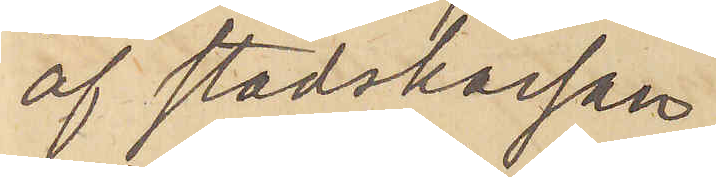af stadskassan
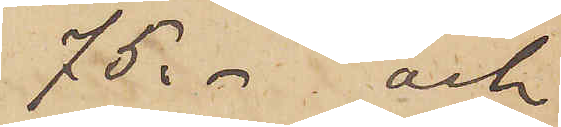75: - och
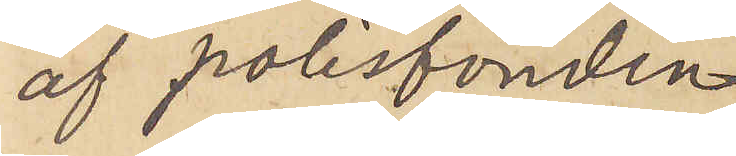af polisfonden.
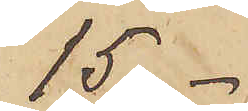15: -
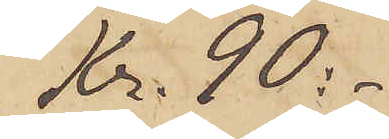Kr. 90:-
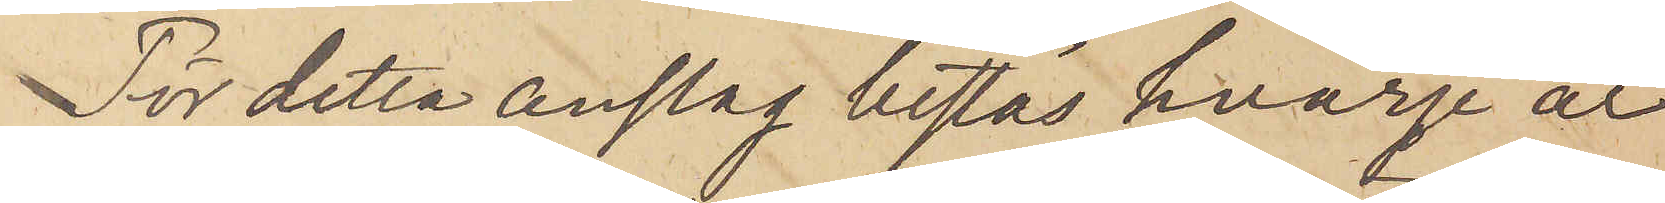För detta anslag bestås hvarje år
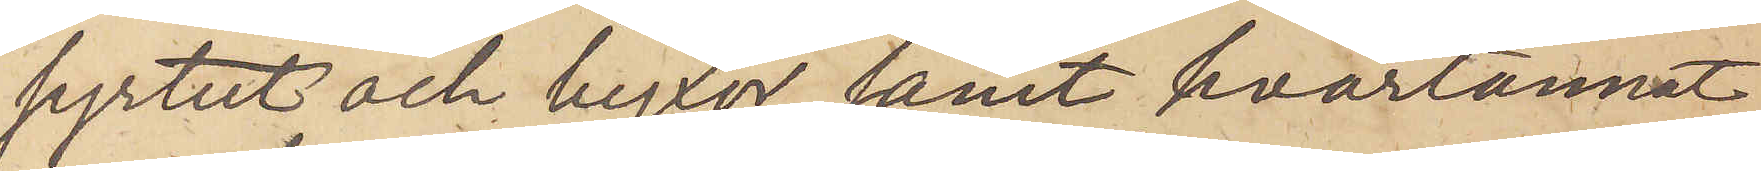syrtut och byxor samt hvartannat
